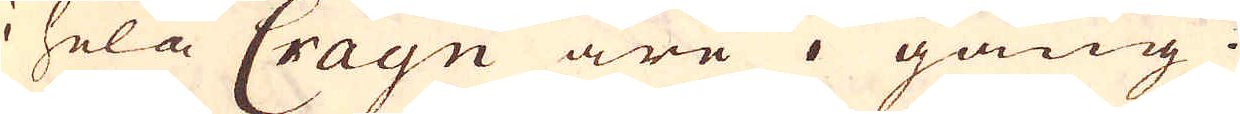i hela Crayn äre i gång.
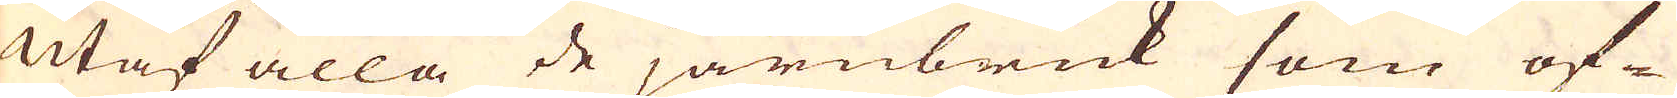Utaf alla de järnbruk som of-
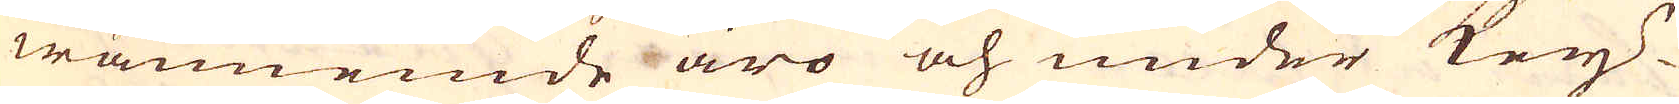wannemde äro och under Key-
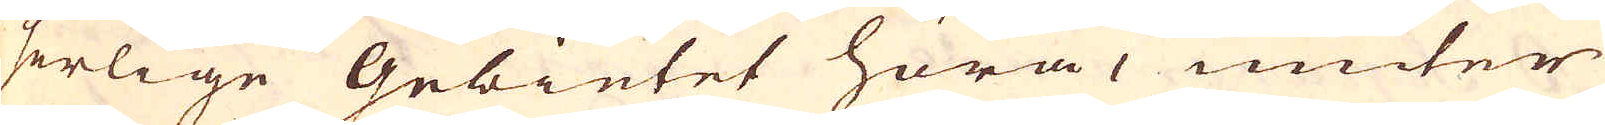serlige Gebietet höra, niuter
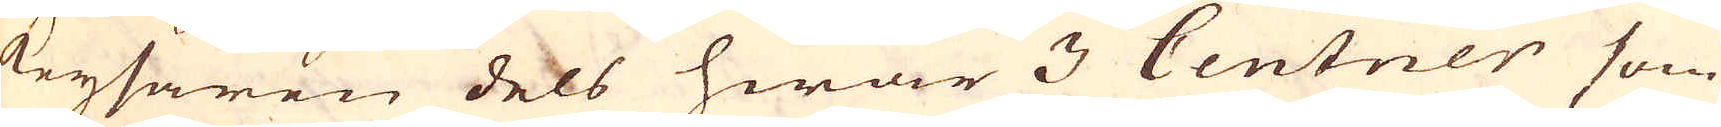Keysaren dels hwar 3 Centner som
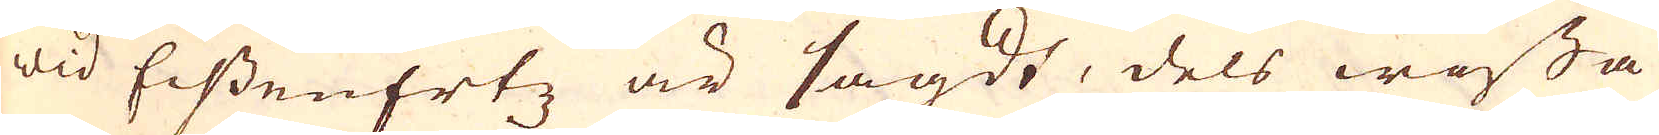wid EissenErtz är sagdt, dels wissa
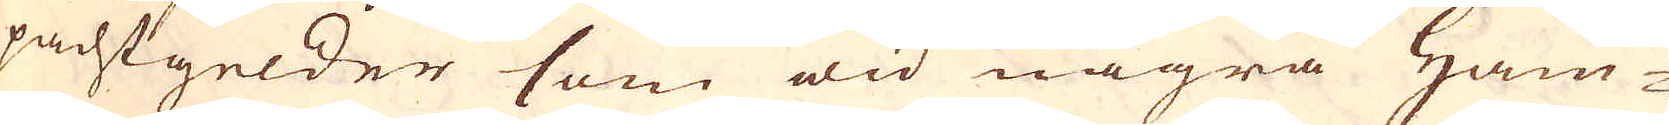pachtgelder som wid några Ham-
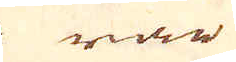rar
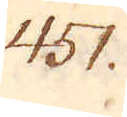451.
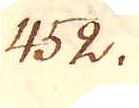452.
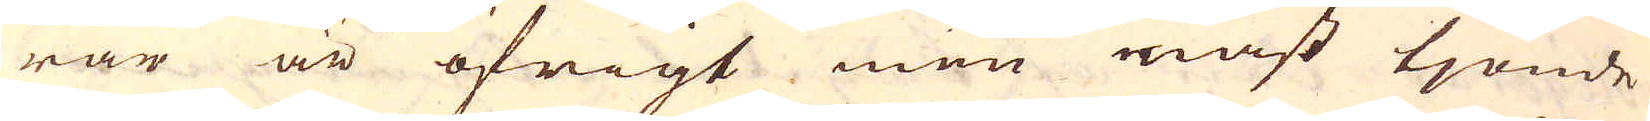rar är öfrigt men näst tjonde
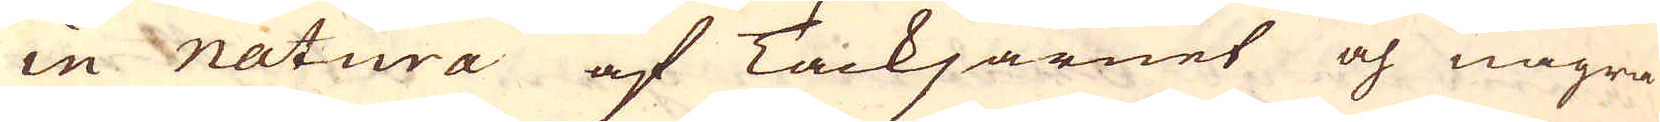in natura af Tackjärnet och några
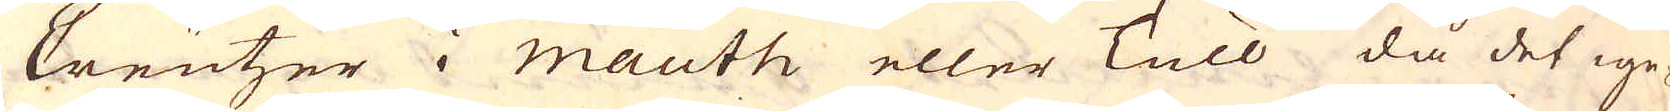Creutzer i Mauth eller Tull då det ige-
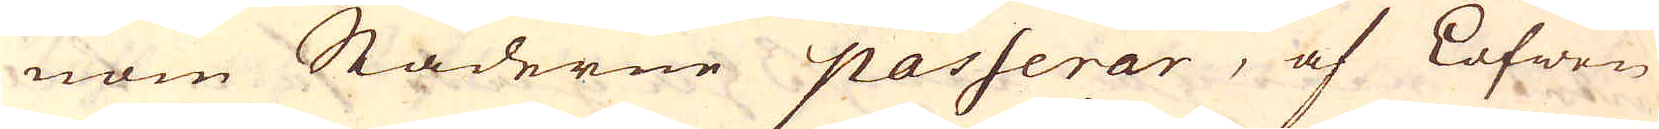nom Städerne passerar, af Löfwen
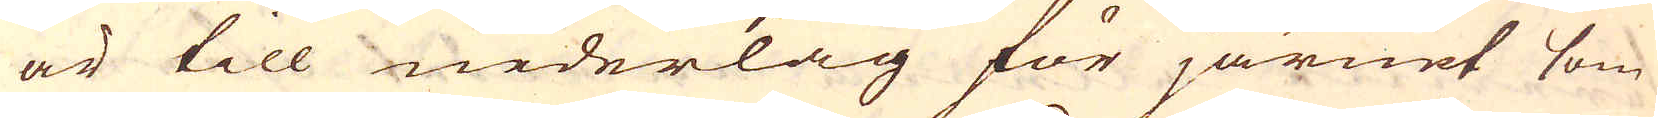är till nederlag för järnet som
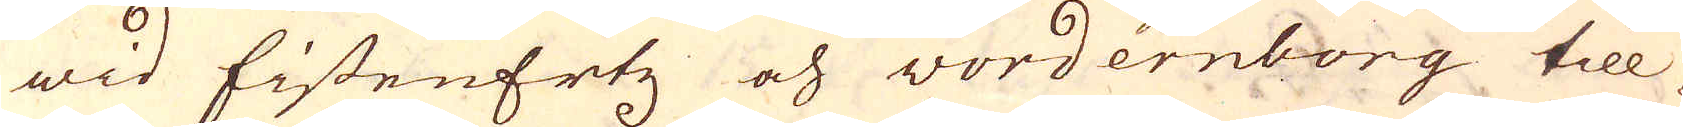wid EistenErtz och wordernborg till-
